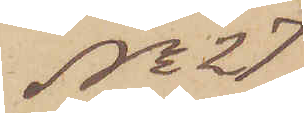No 27
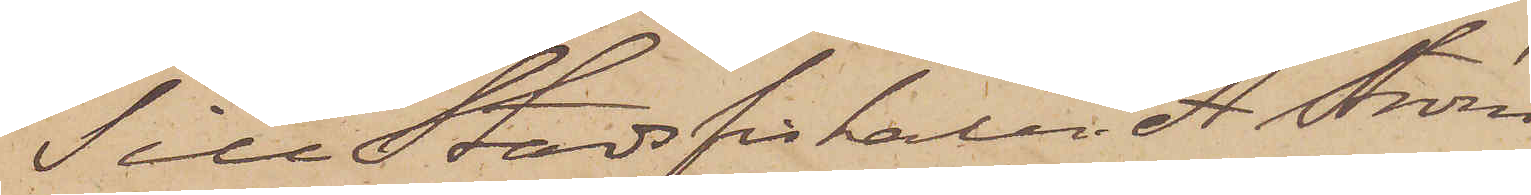Till Stadsfiskalen A. Ström
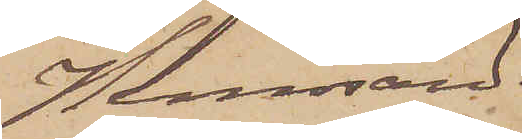Hernösand.
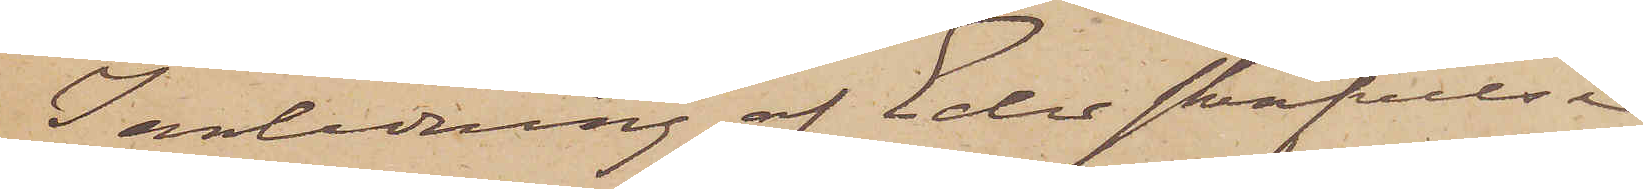I anledning af Eder skrifvelse 
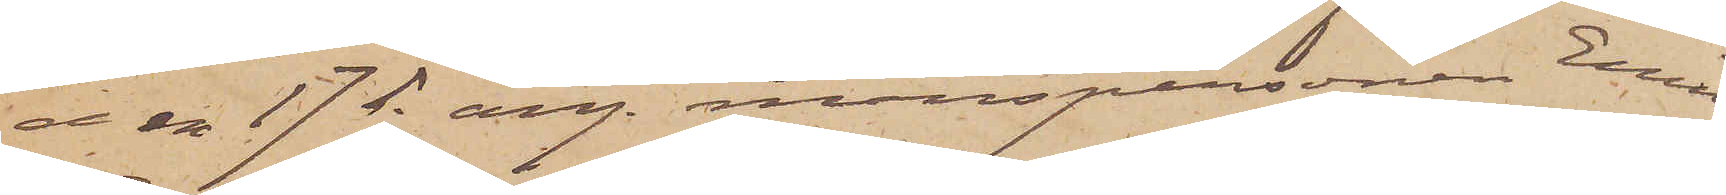den 17 ds ang. manspersonen Emil
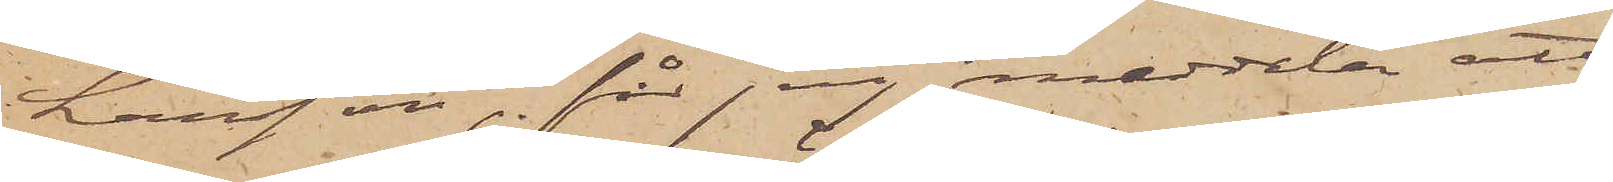Larsson, får jag meddela att
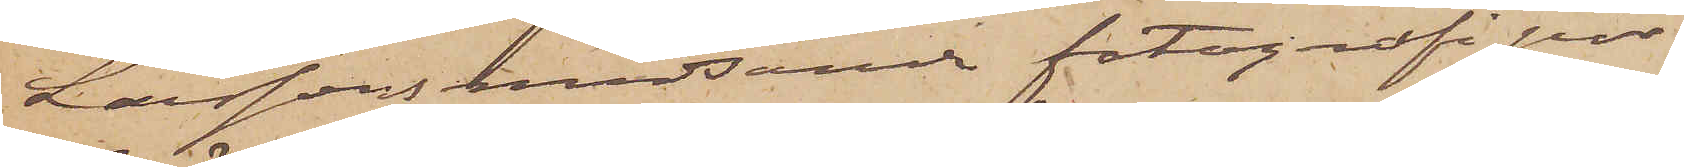Larssons medsända fotografipor¬
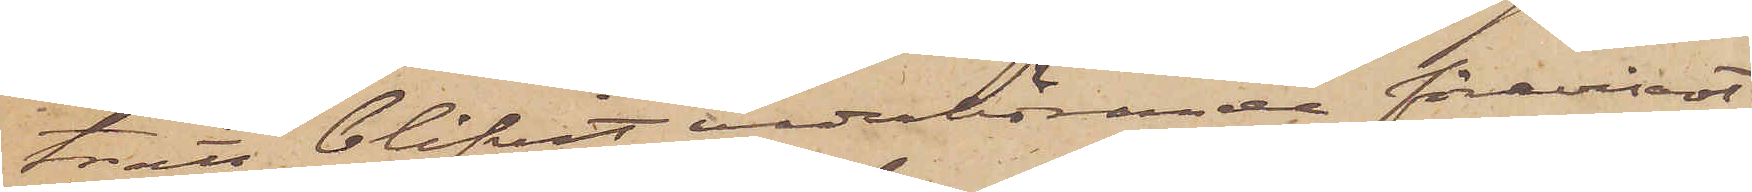trätt blifvit vederhörande förevisadt
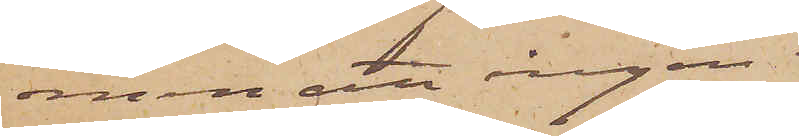men att ingen
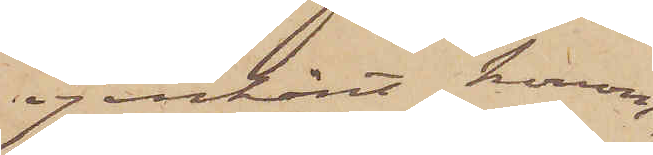igenkänt honom,
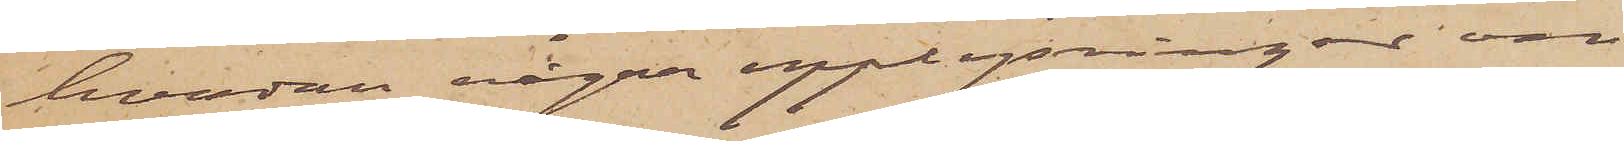hvadan några upplysningar om
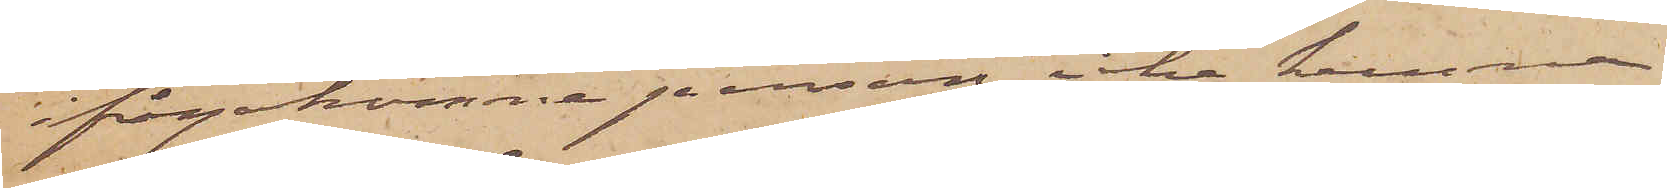ifrågakomne person icke kunna
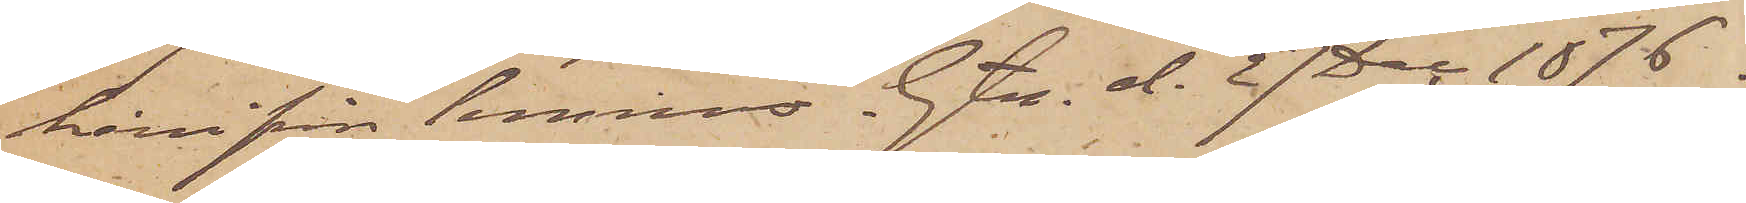härifrån lemnas Gtg. d. 27 Dec. 1876.
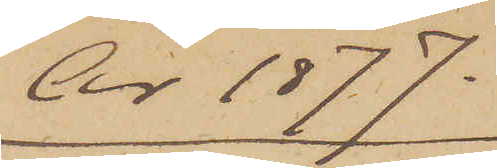År 1877.
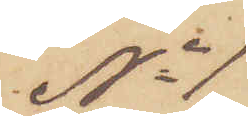No 1
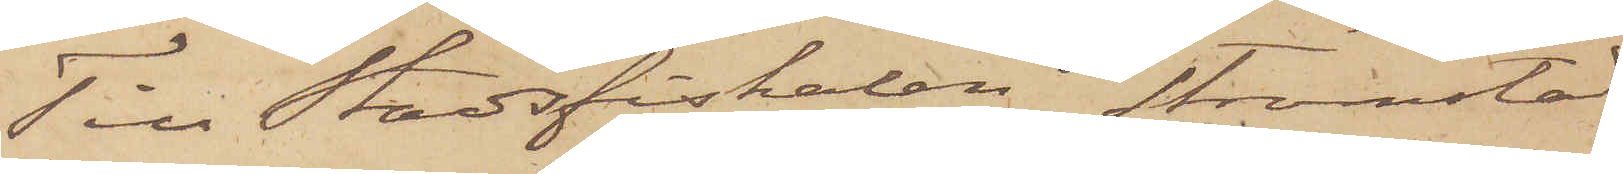Till Stadsfiskalen Strömstad
